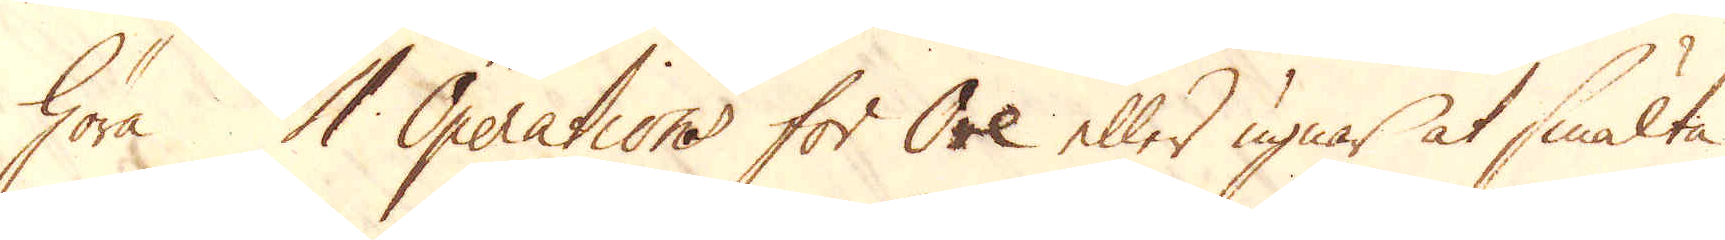höra 4 Operations för Ore eller ugnar at smälta
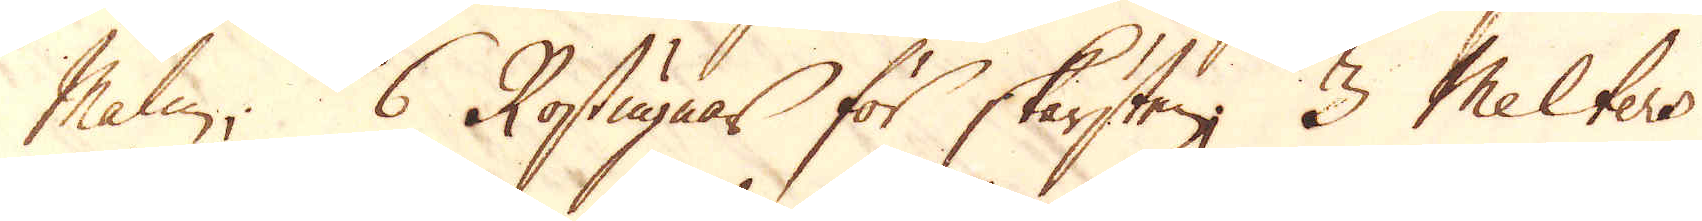Malm; 6 Rostugnar för skärsten, 3 Melters
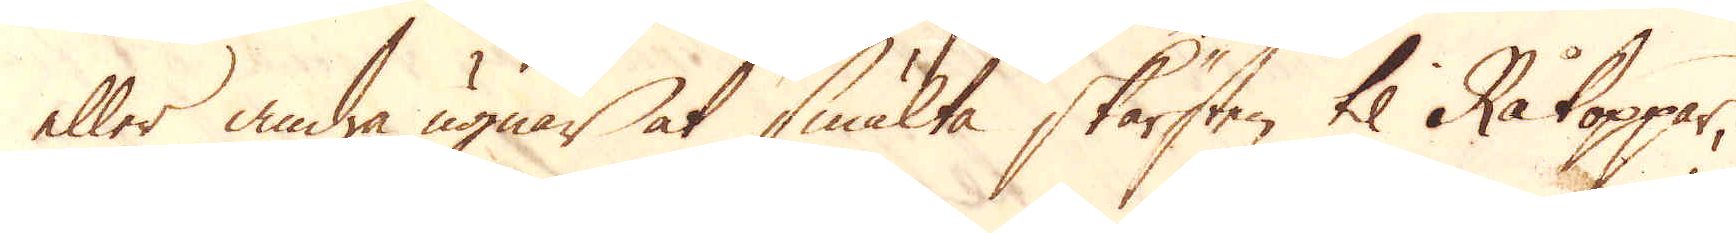eller andra ugnar at smälta skärsten til Råkoppar,
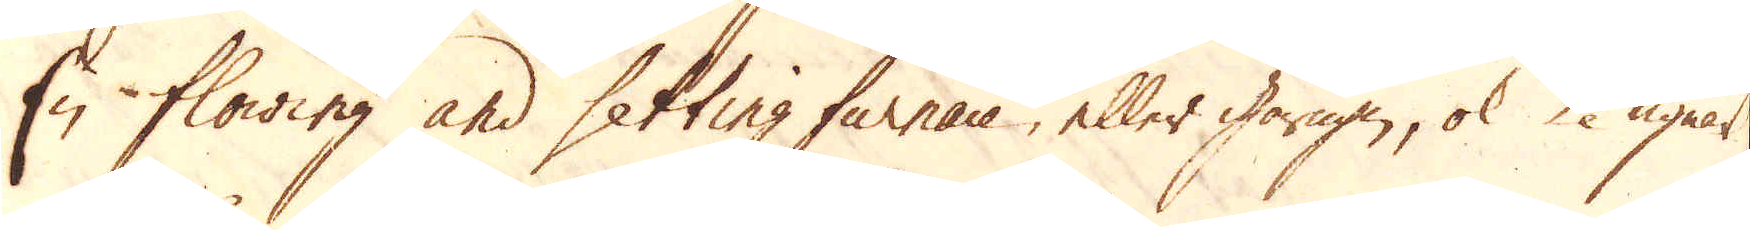En flowing and setting furnace, eller gårugn, ok 2 ugnar
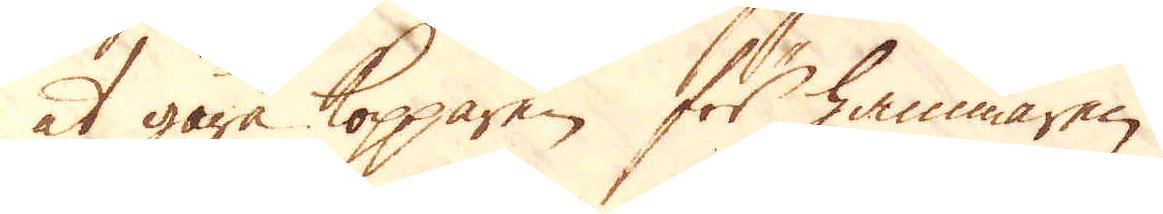at gåra kopparen för hammaren.
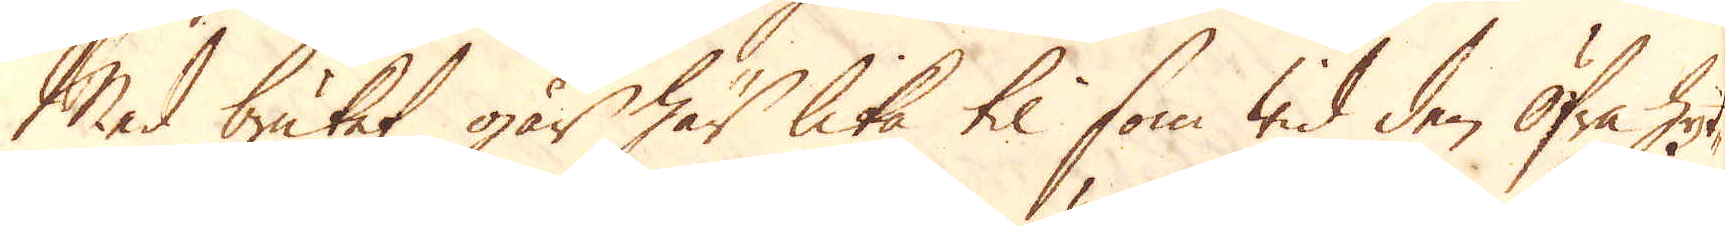Med bruket går här lika til som wid den öfra hyt-
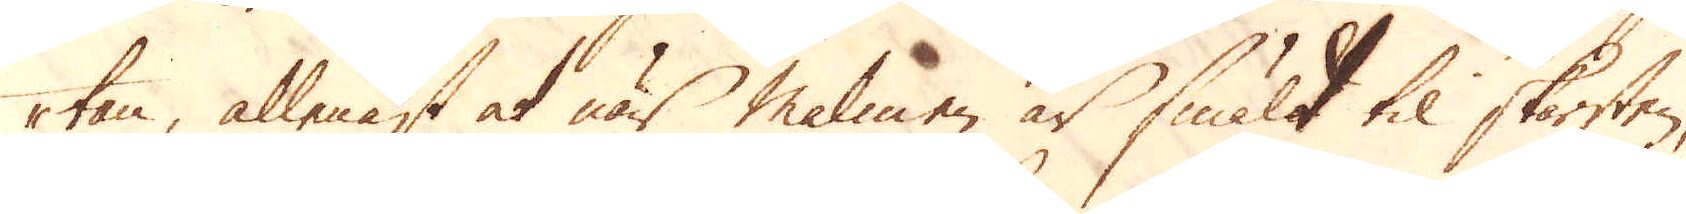tan, allenast at när malmen är smält til skärsten,
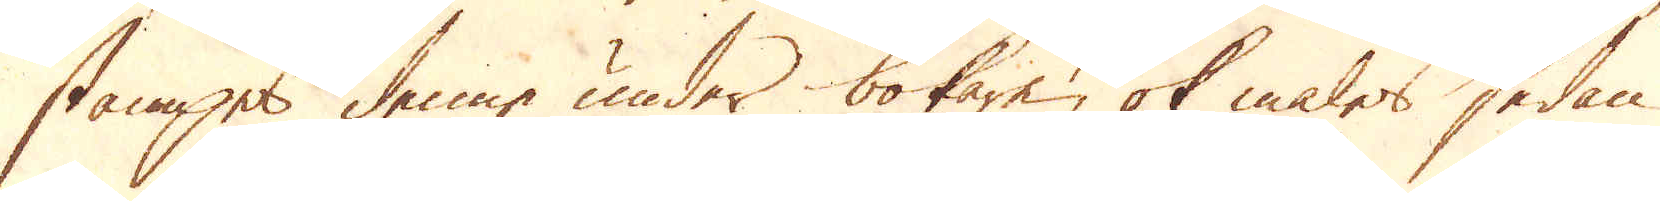stampes denne under bokare, ok males sedan
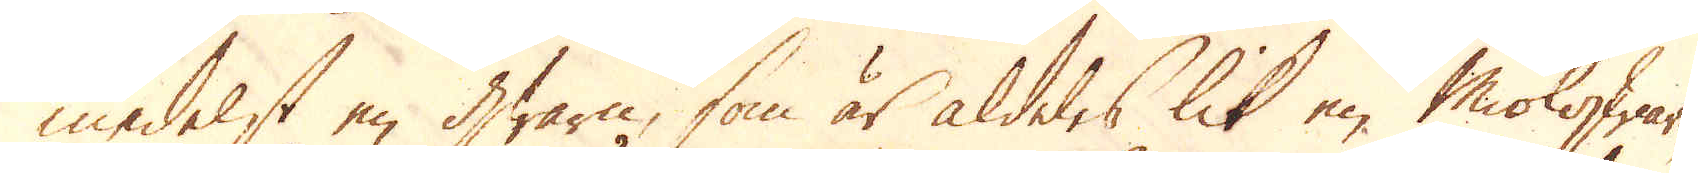medelst en qwarn, som är aldeles lik en Miölqwarn,
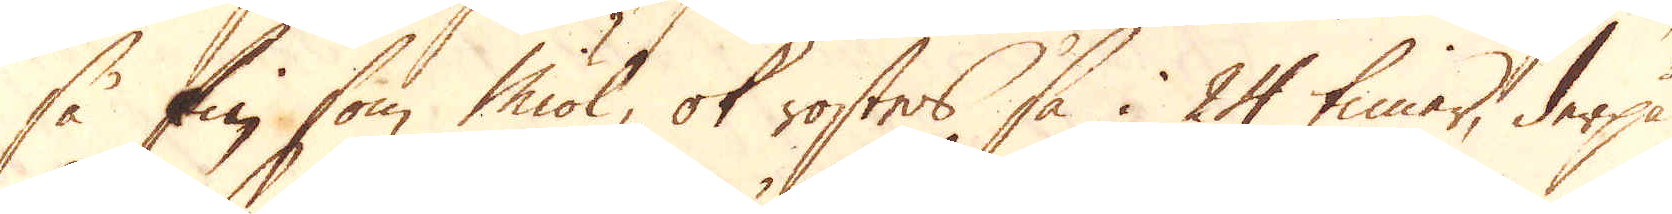så fin som miöl, ok rostes så i 24 timar, derpå
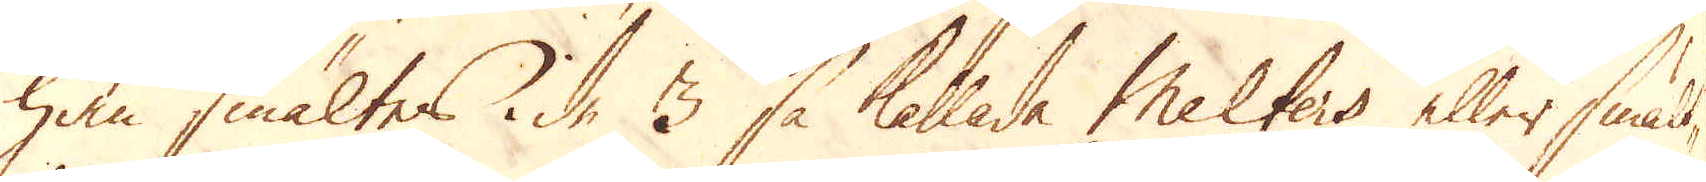han smältes i de 3 så kallade Melters eller smält-
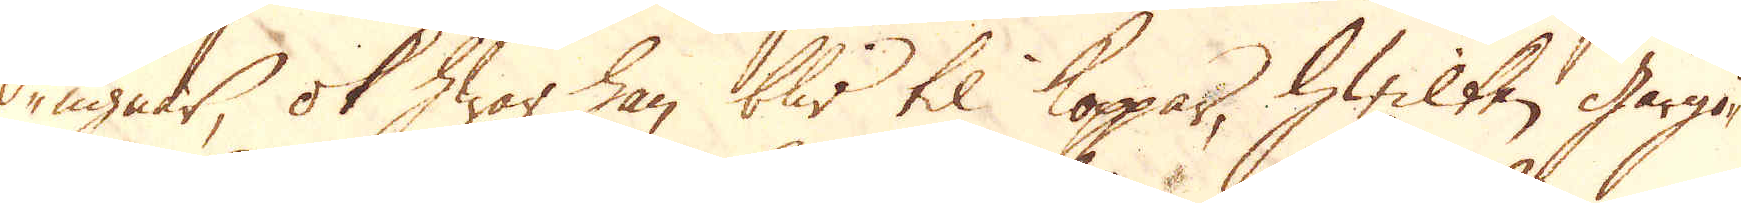ugnar, ok hwar han blir til koppar, hwilken gårgö-
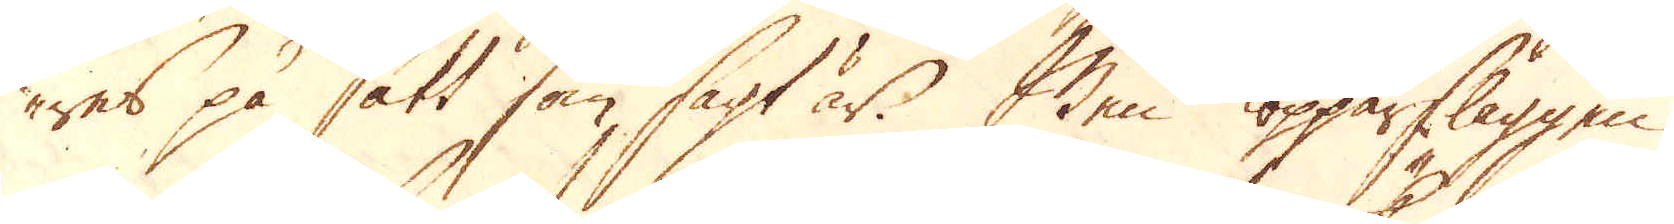res på sätt som sagt är. Men kopparslaggen
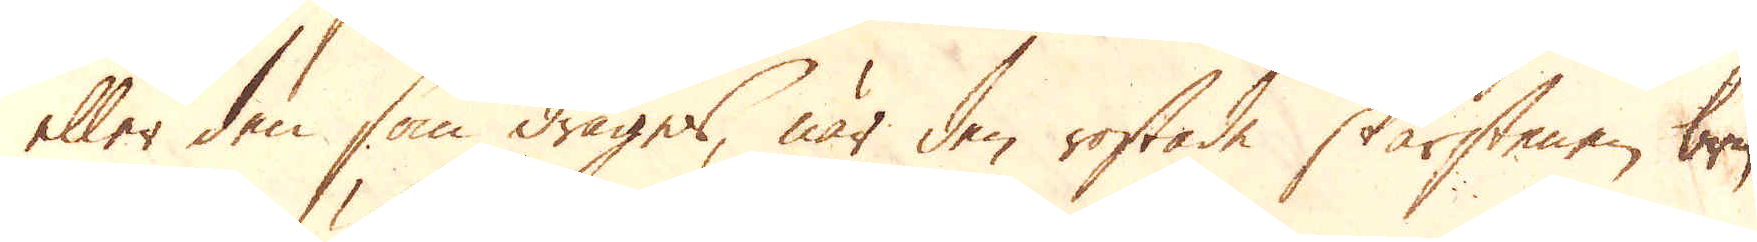eller den som drages, när den rostade skärstenen bry-
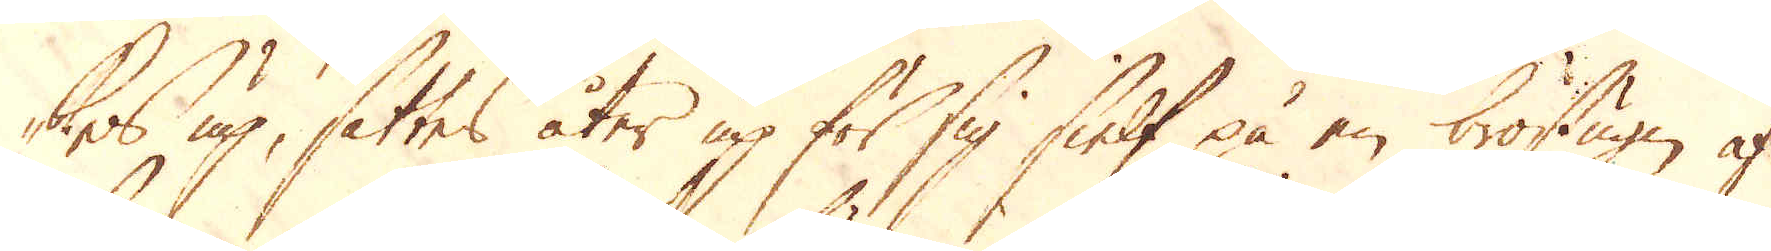tes up, sättes åter up för sig sielf på en bröstugn af
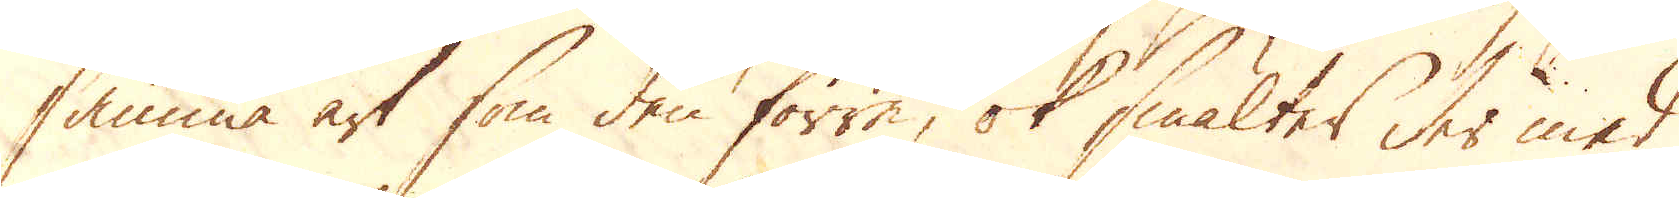samma art som den förre, ok smältes der med
